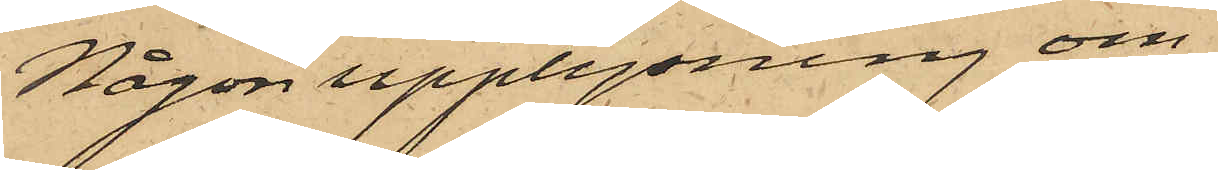Någon upplysning om
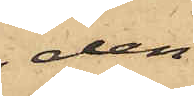den
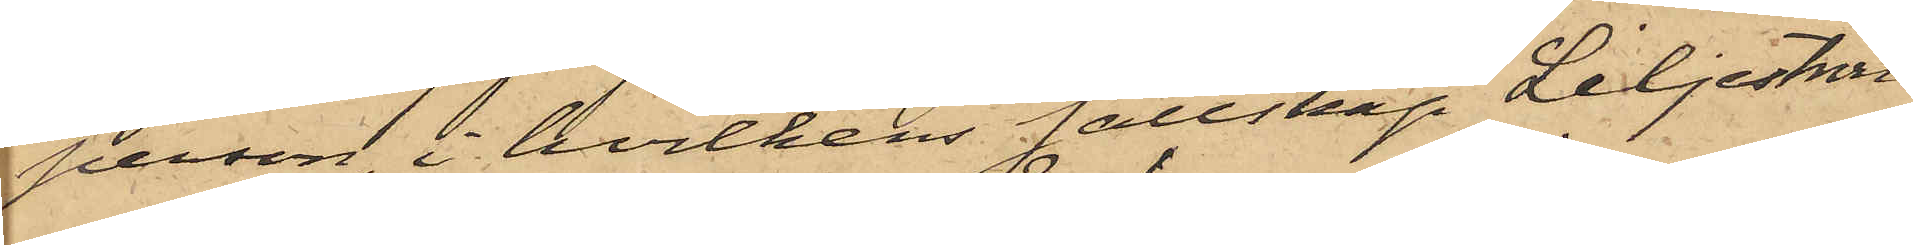person, i hvilkens sällskap Liljeström
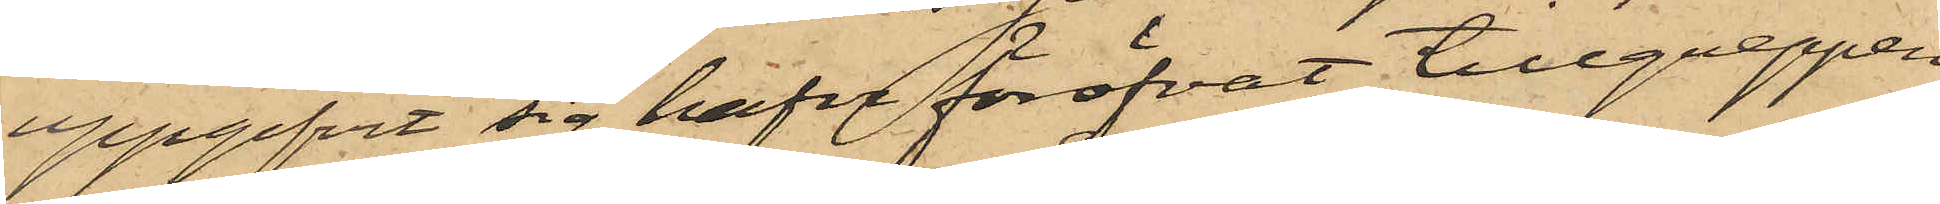uppgifvit sig hafva föröfvat tillgreppen,
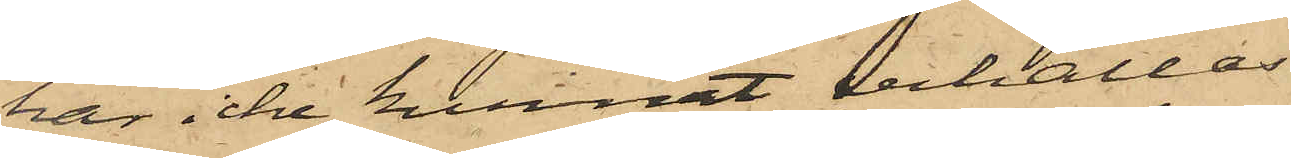har icke kunnat erhållas.
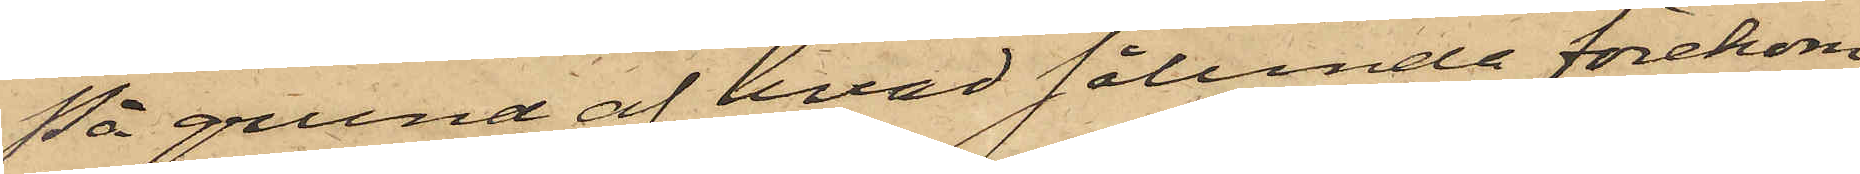På grund af hvad sålunda förekom¬
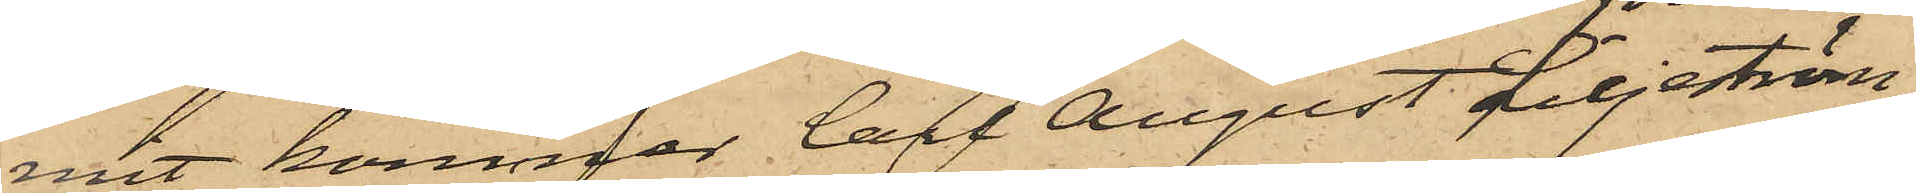mit kommer Carl August Liljeström,
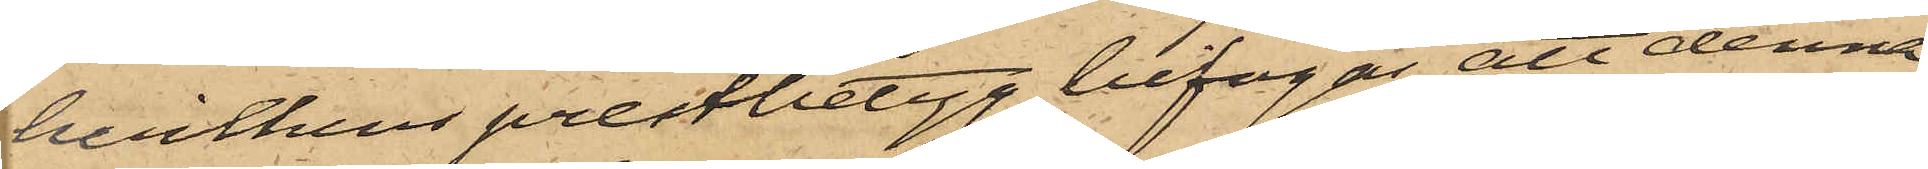hvilkens prestbetyg bifogas, att denna
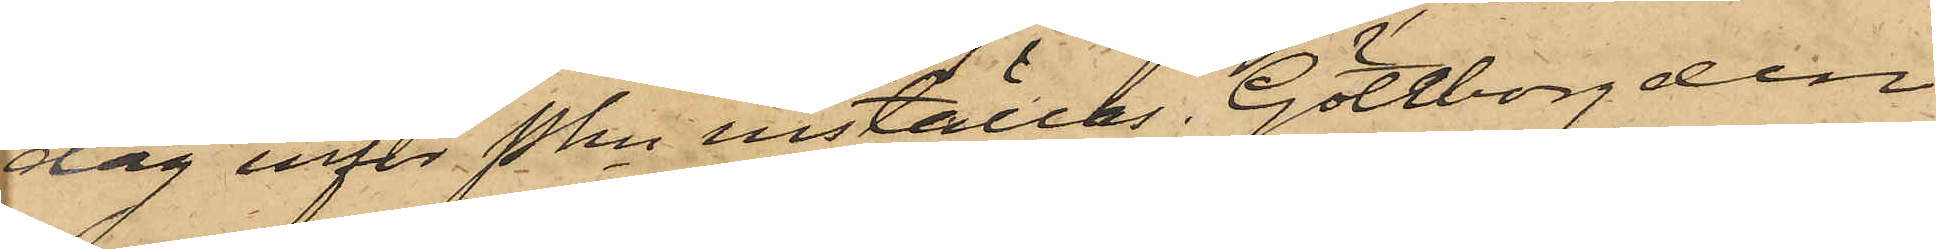dag inför Pkn inställas. Göteborg den
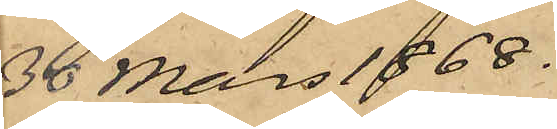30 Mars 1868.
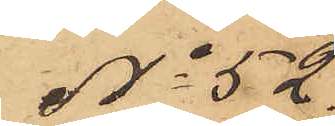No 52.
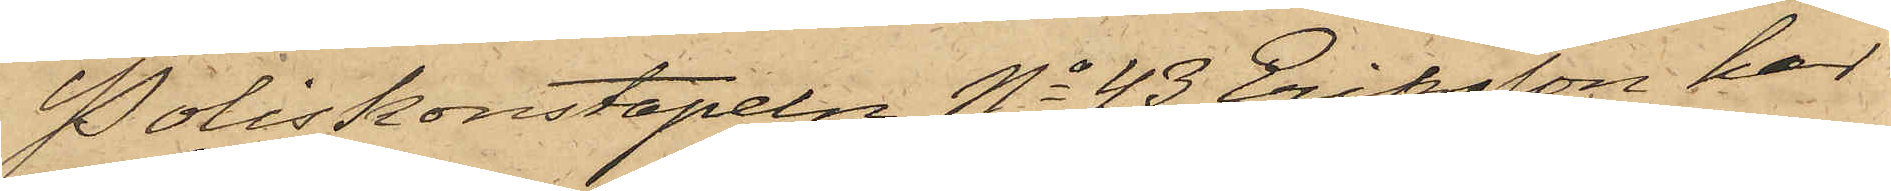Poliskonstapeln No 43 Eriksson har
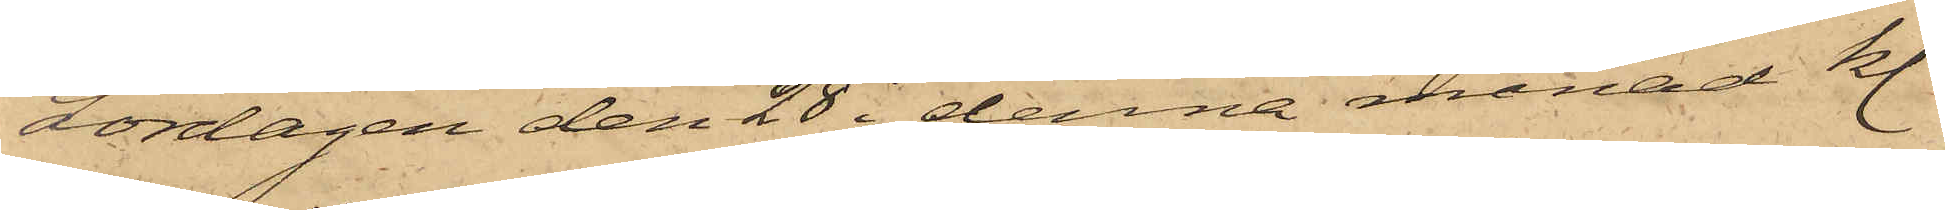Lördagen den 28 i denna månad kl.
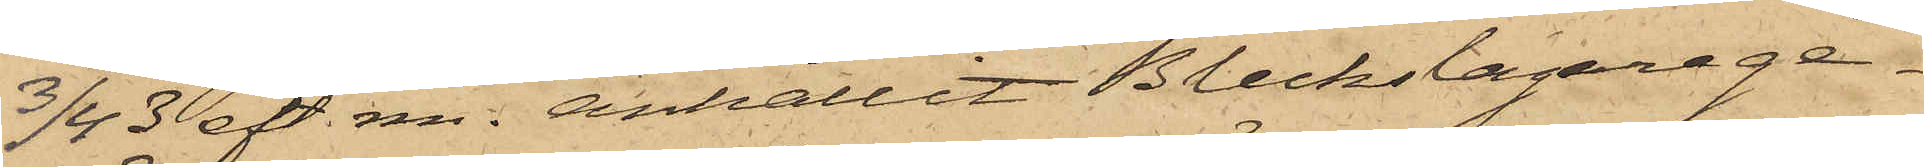3/4 3 eft. m. anhållit Bleckslagarege¬
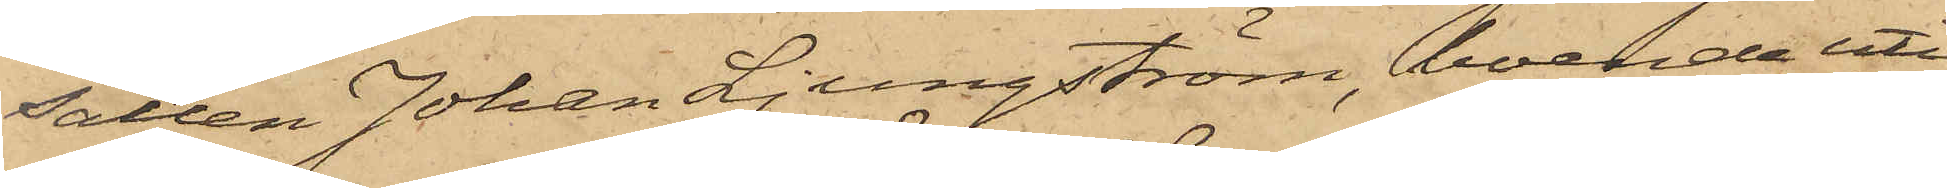sällen Johan Ljungström, boende uti
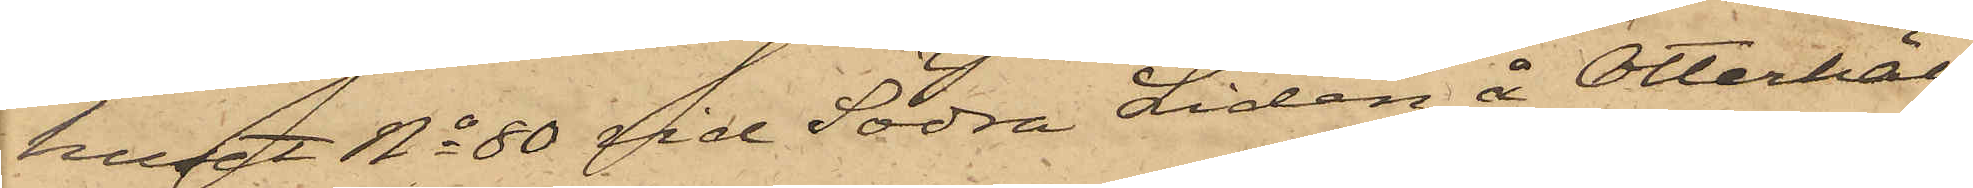huset No 80 vid Södra Liden å Otterhäl¬
